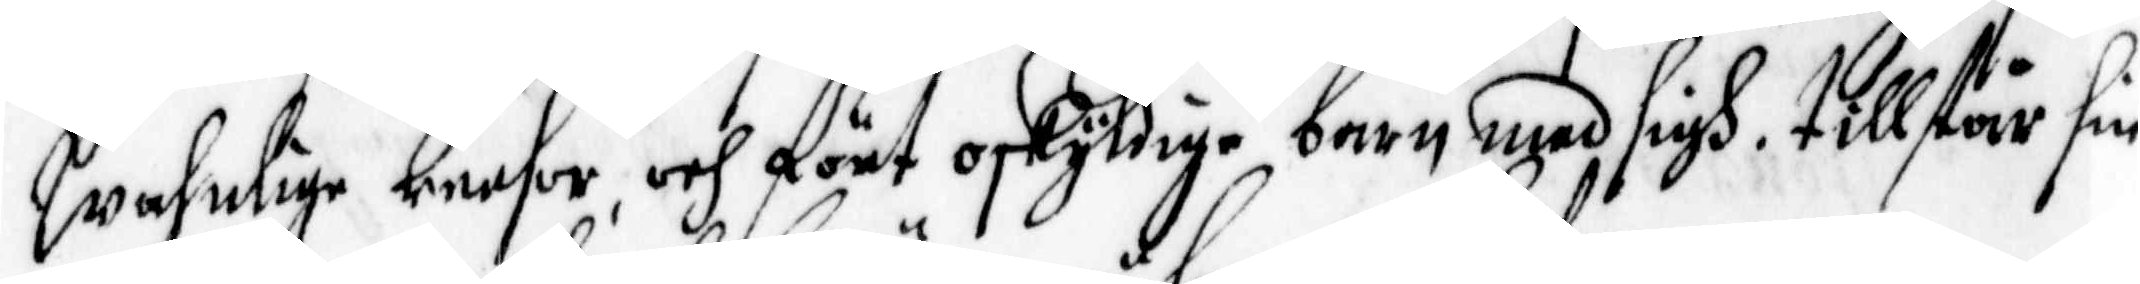wahnlige reesot och fört oskyldige barn med sigh, tillstår sin
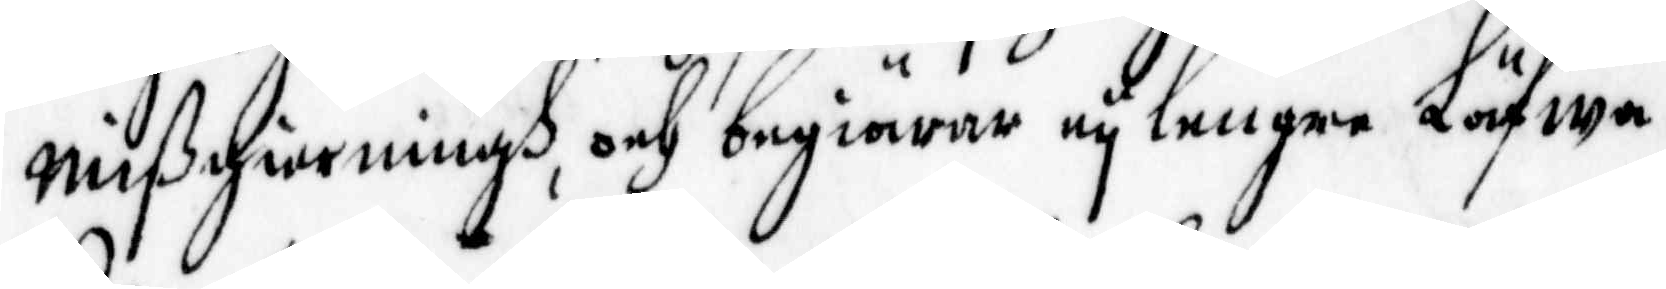mißgierningh, och begiärer ey lengre Läfwa.
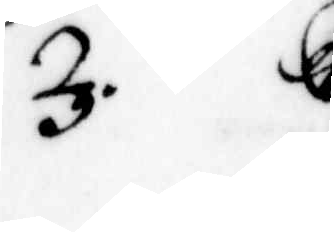3. gertrudh Oluffzdåtter i Östansiö på sitt 16 åhr har bekiänt
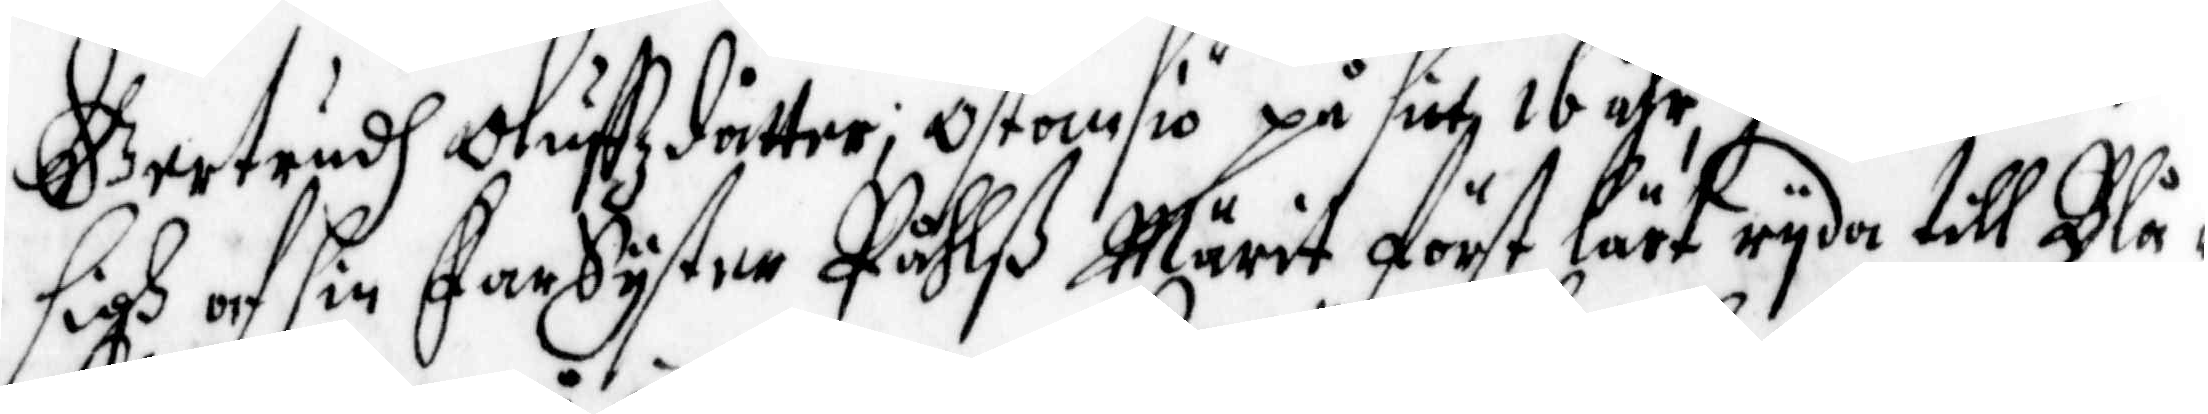sigh af sin FarSyster Påhlß Märit först lärt ryda till Blå¬
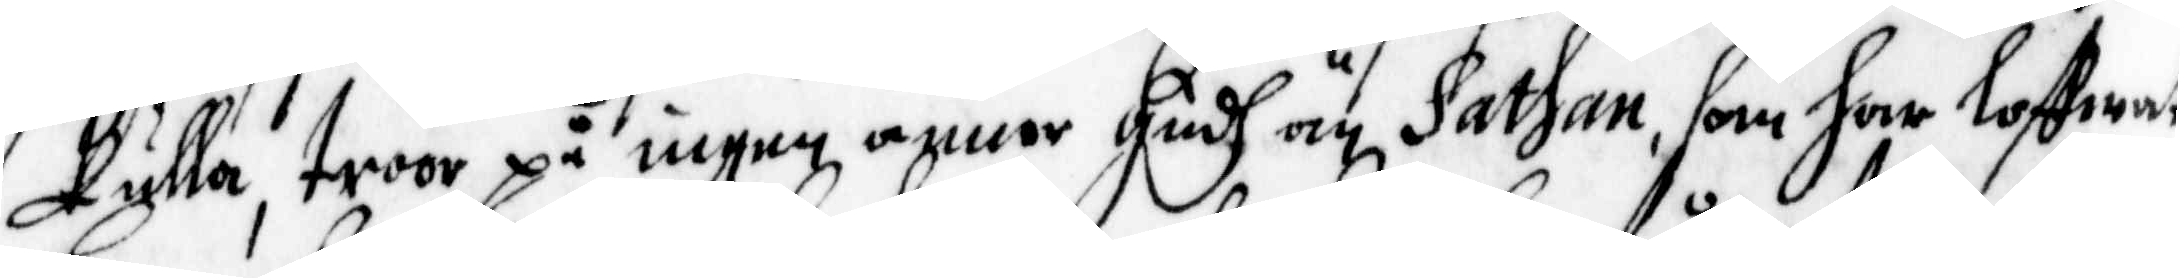Kulla, troor på ingen annor Gudh än Sathan, som har loffwat
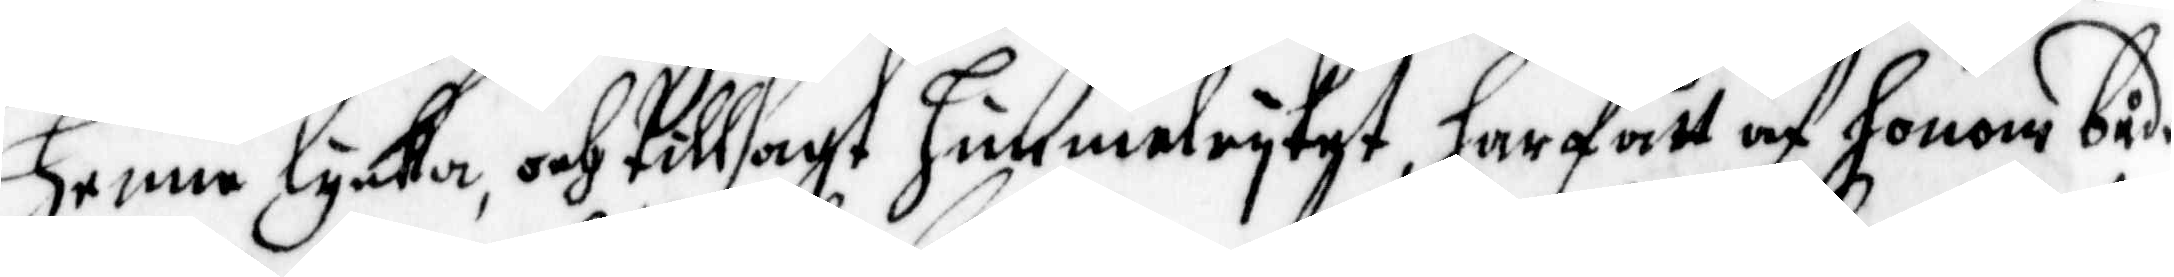henne lycka, och tillsagt himmelryket, har fått af honom både
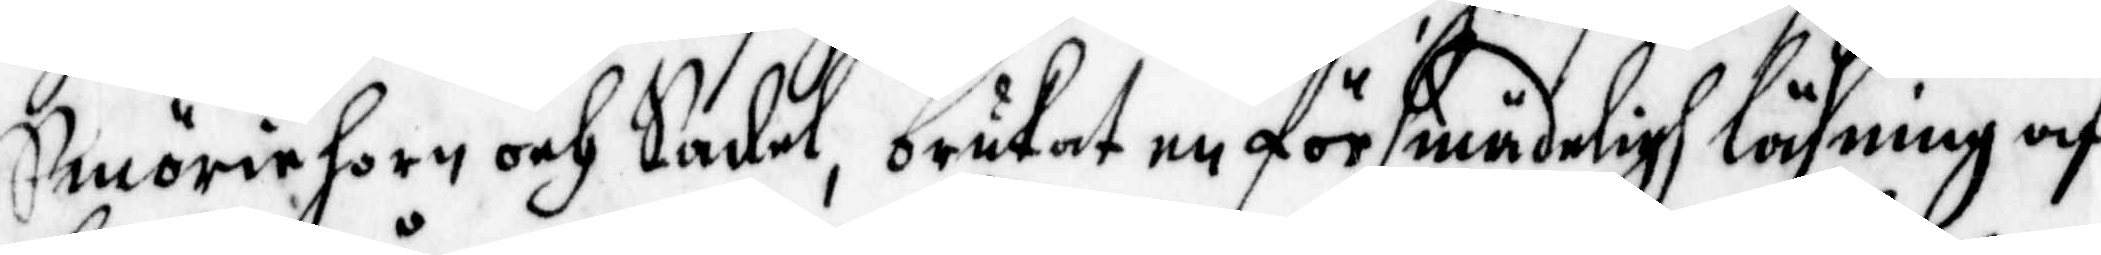Smöriehorn och Sadel, brukat en försmädeligh läsning af
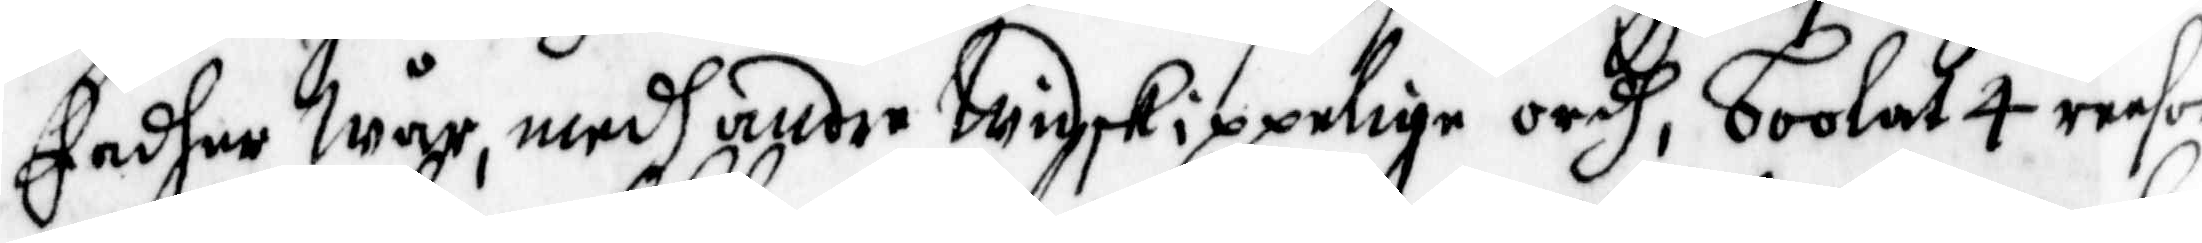Fadher Wår, medh andre widskippelige ordh, boolat 4 reesot
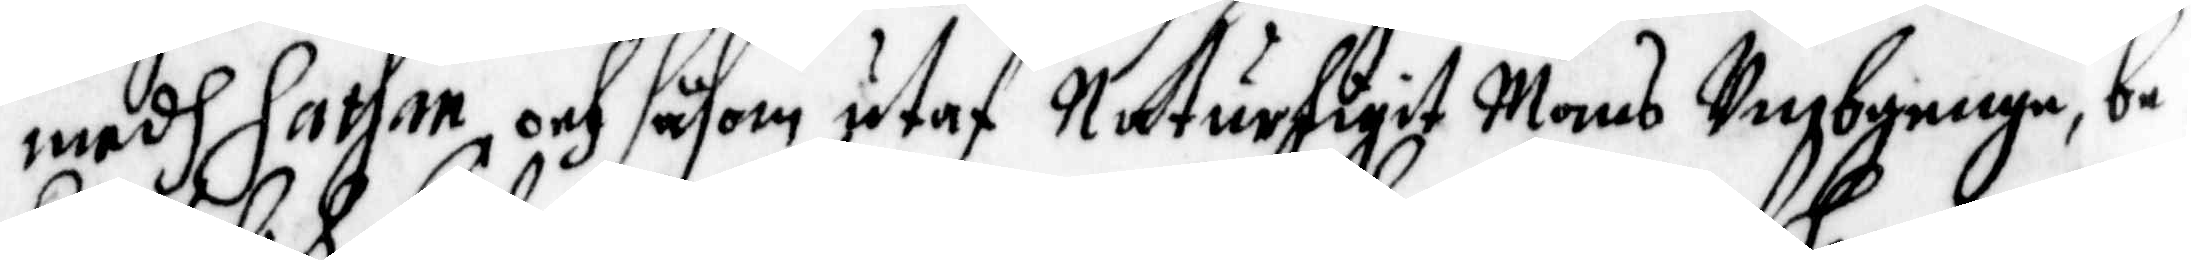medh Sathan, och såsom utaf Naturligit Mans Umbgenge, be¬
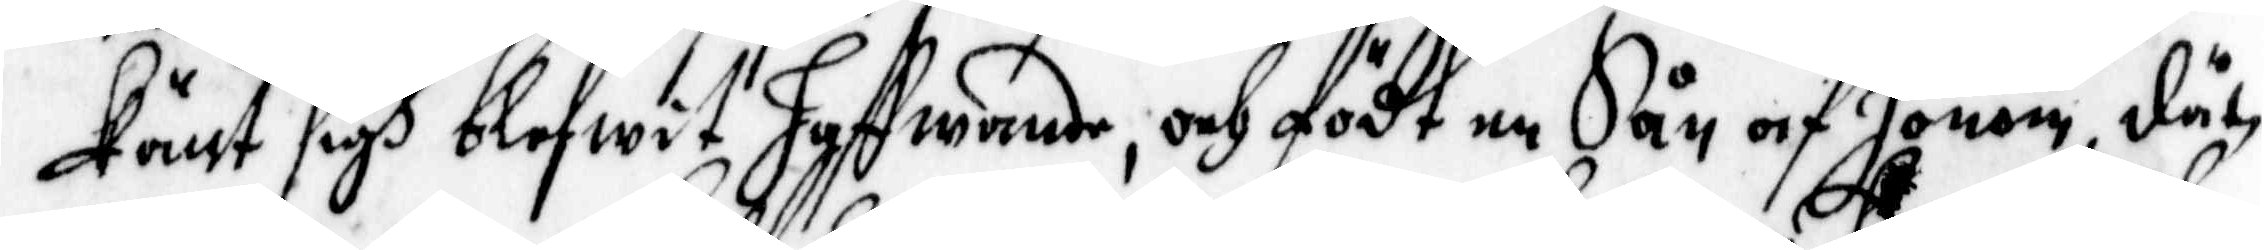känt sigh blefwit haffwande, och födt en Sån af honom, dät
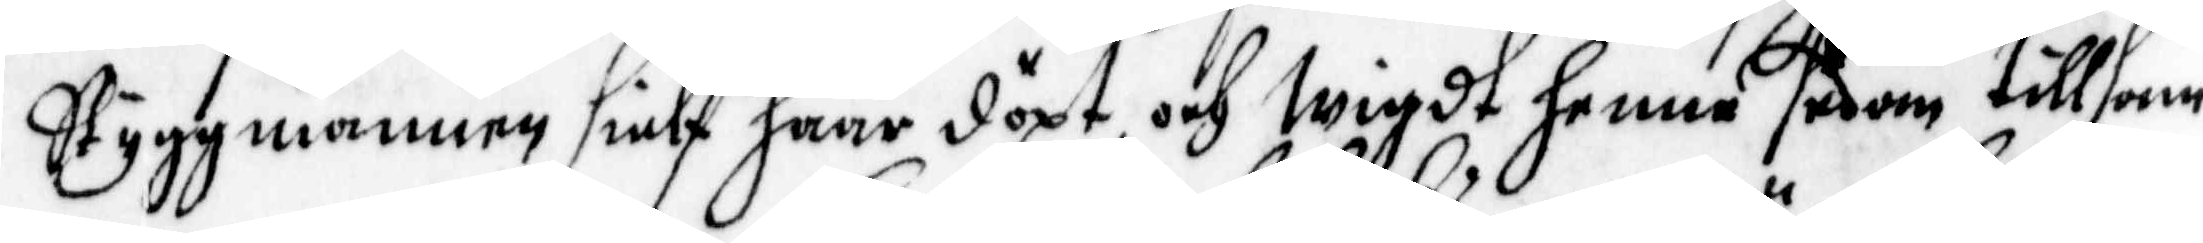Styggmannen sielf haar döpt och wigdt henne sedan tillsam¬
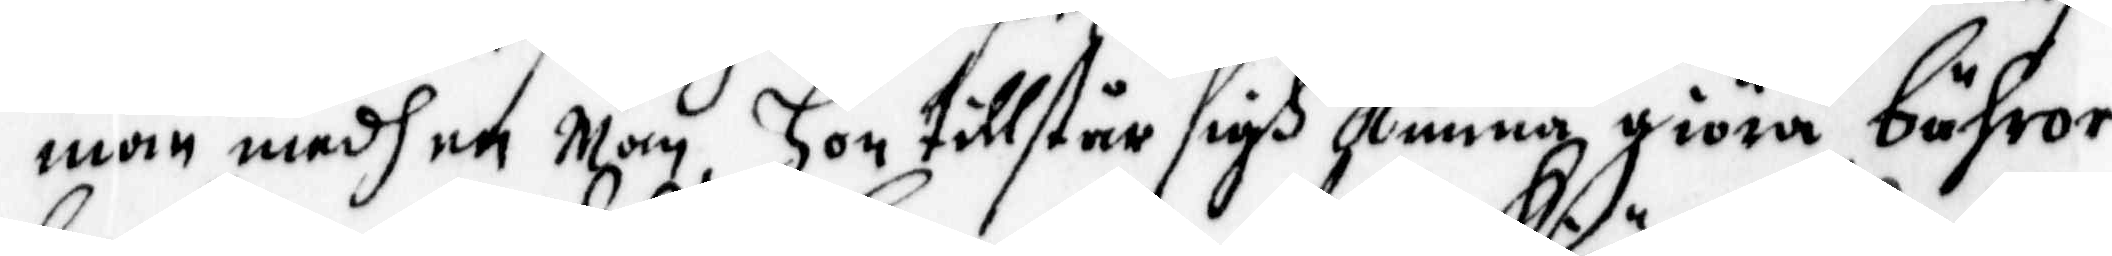man medh en man, hon tillstår sigh kunna giöra bähror
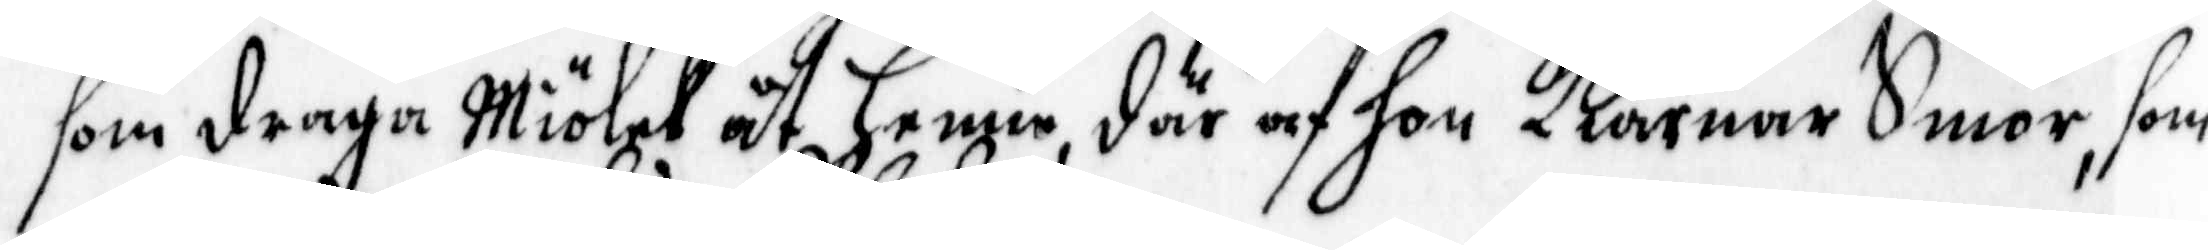som draga miölck åt henne, där af hon Kiänar Smör, som
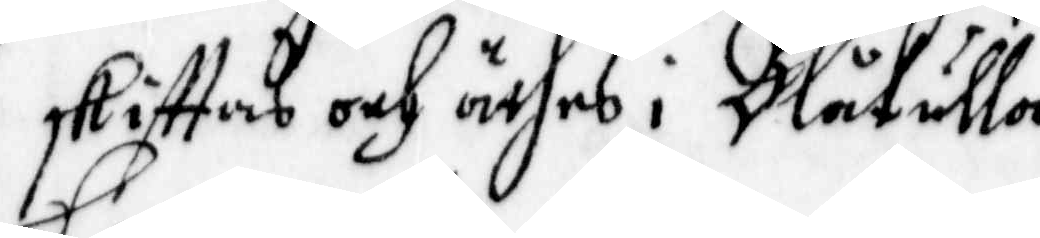skifftas och äthes i Blåkulla.
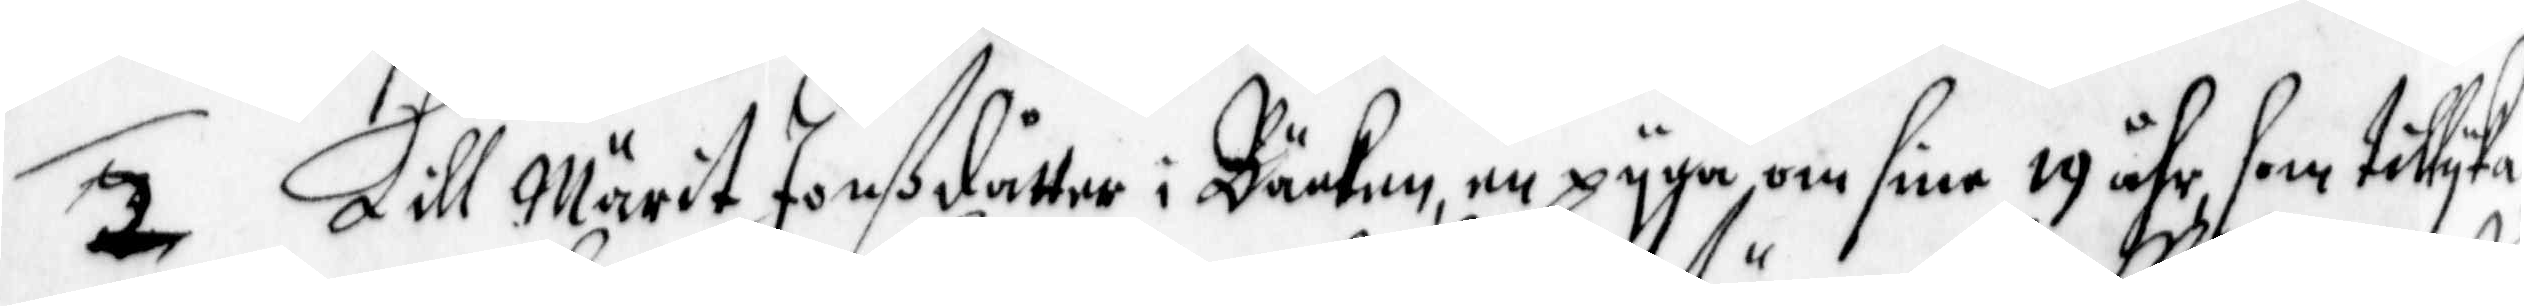2. Lill Märit Jonßdåtter i Bäcken, en pyga om sine 19 åhr, som tillyka
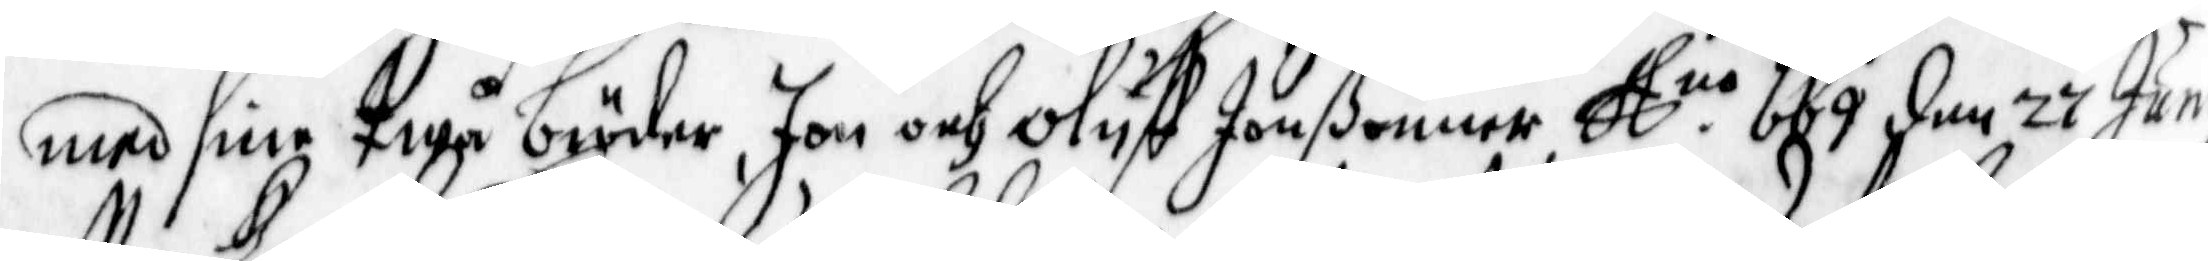med sine twå bröder, Jon och Oluff Jonßönner A. no 669 den 27 juny
